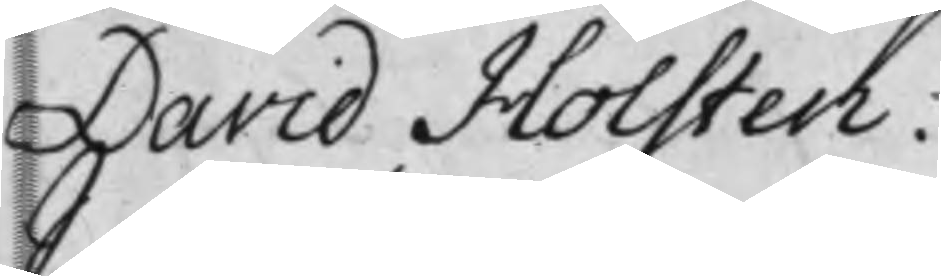David Holsten.
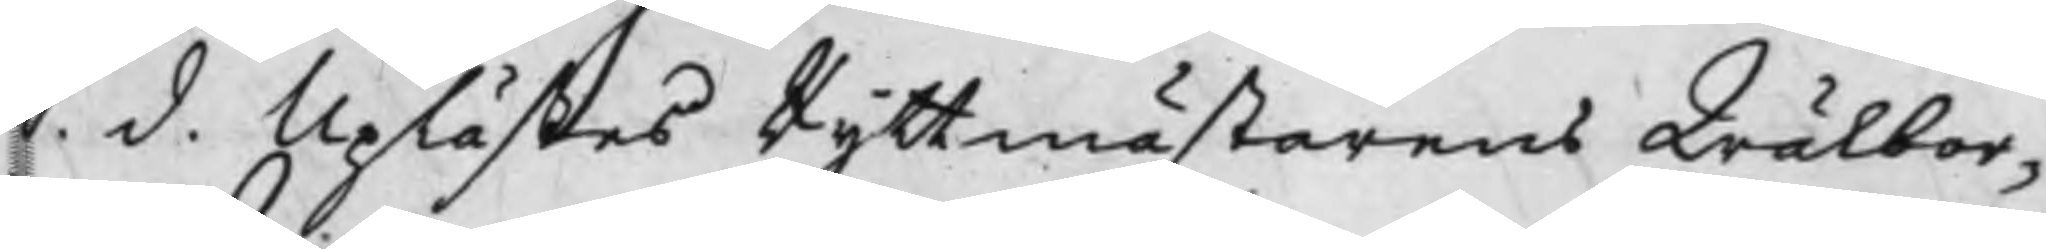S. d. Uplästes Ryttmästarens Wälbor¬
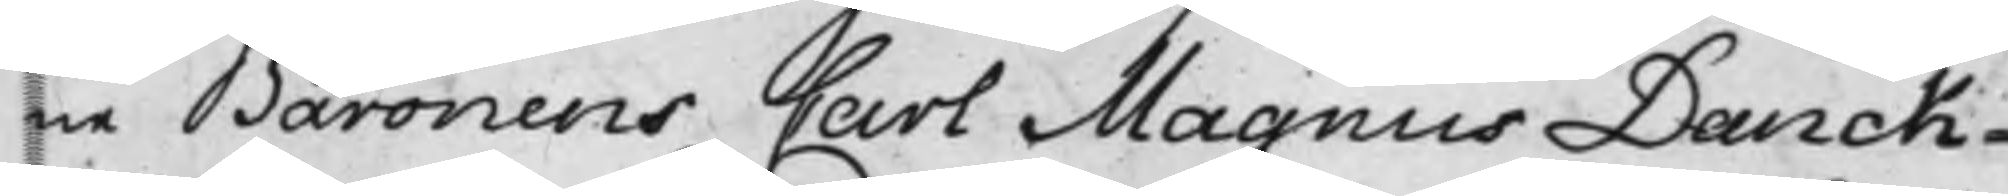ne Baronens Carl Magnus Danck¬
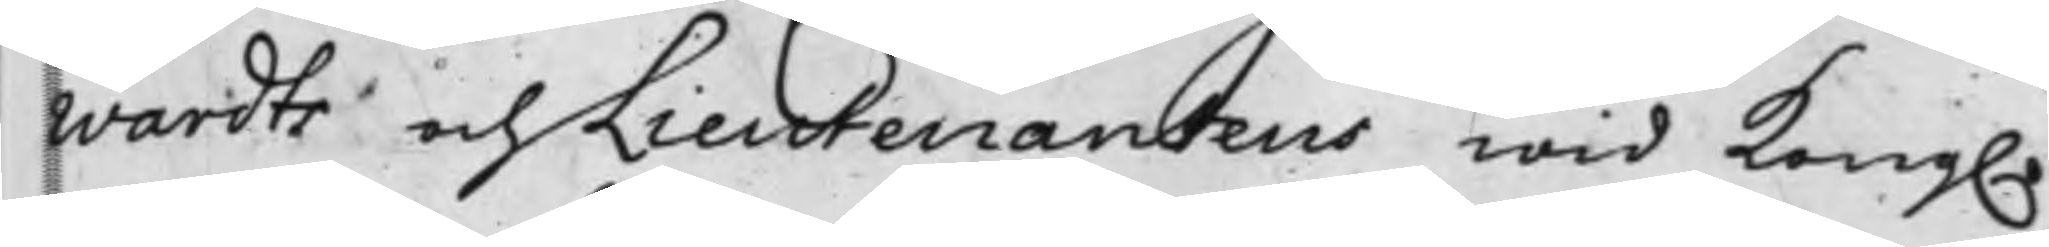wardts och Lieutenantens wid Kong.
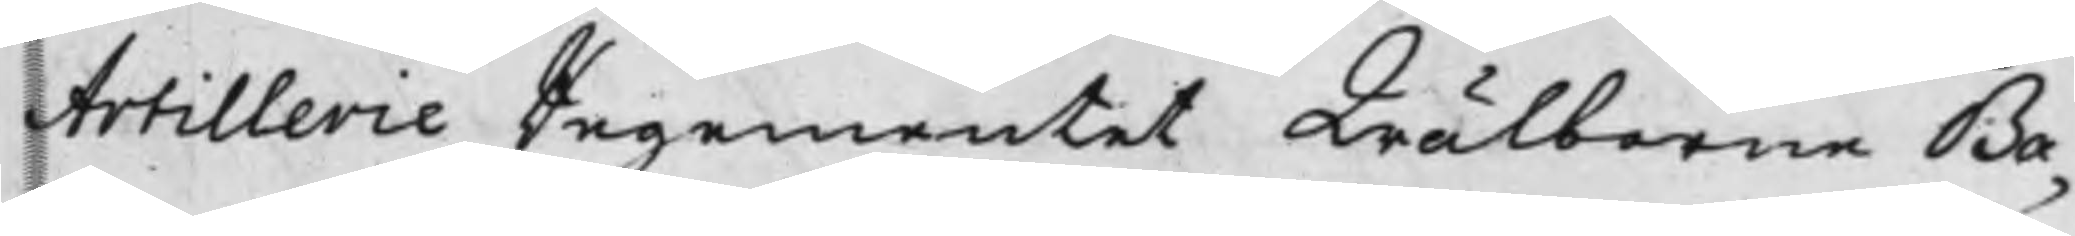Artillerie Regementet Wälborne Ba¬
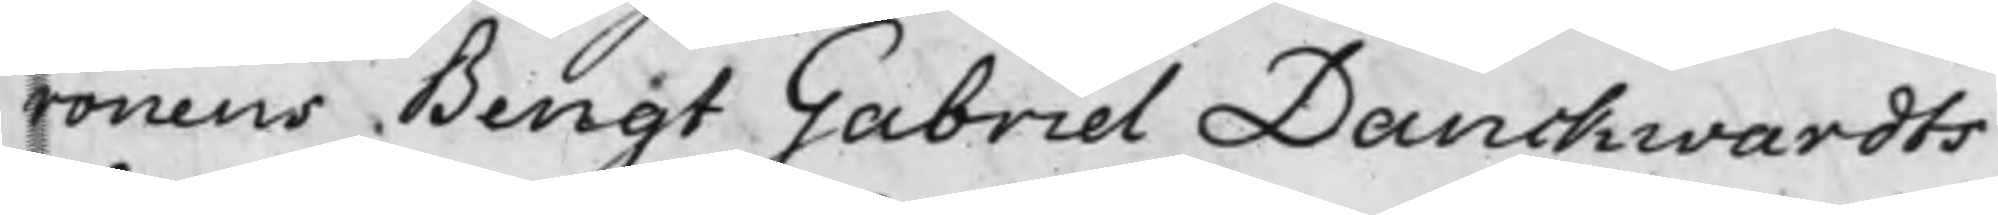ronens Bengt Gabriel Danckwardts
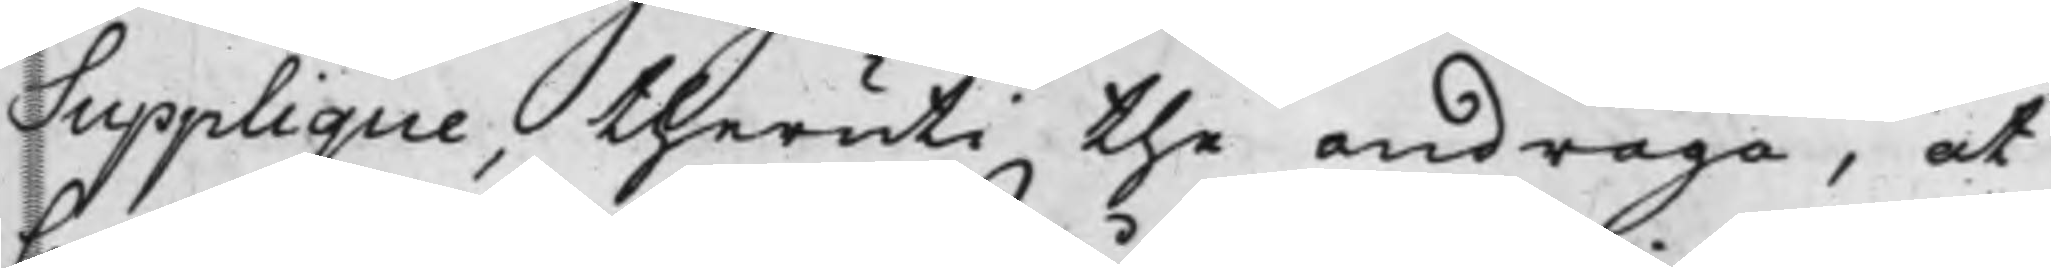Supplique, theruti the andraga, at
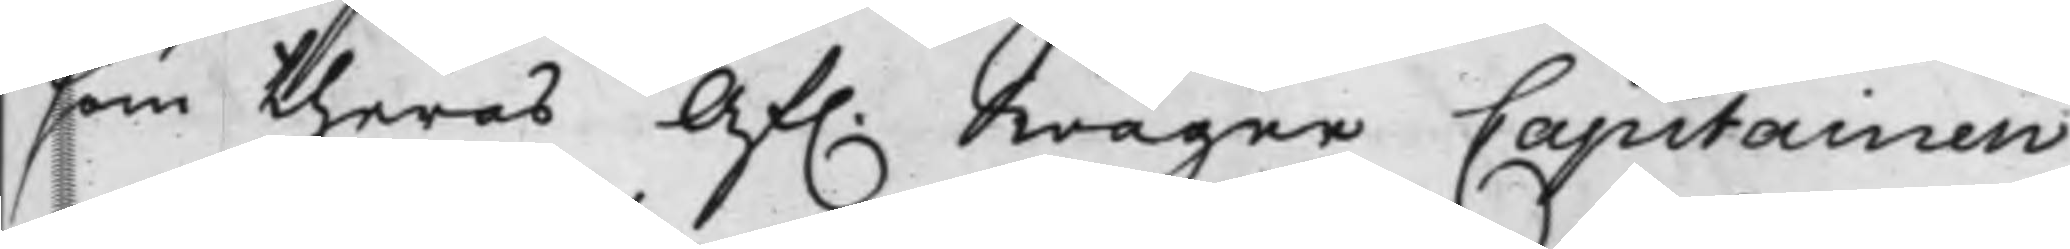som theras Af. Swåger Capitainen
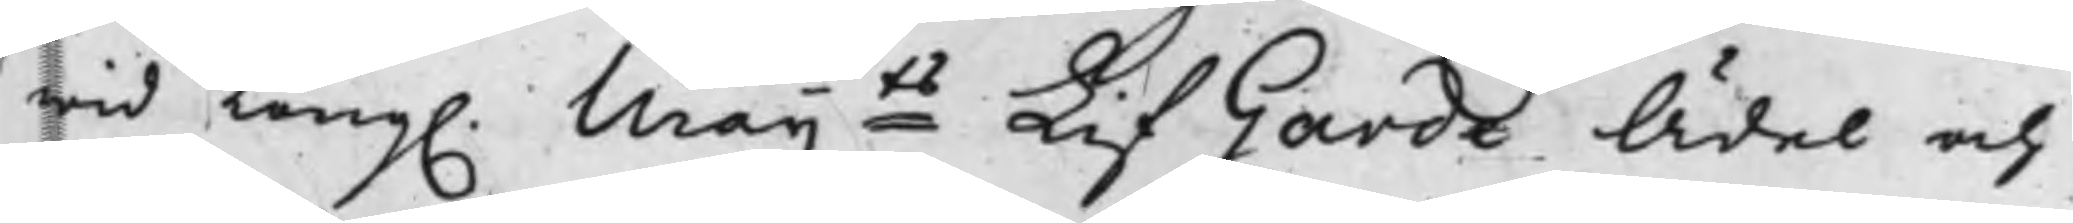wid Kong. Maijts LifGarde Ädel och
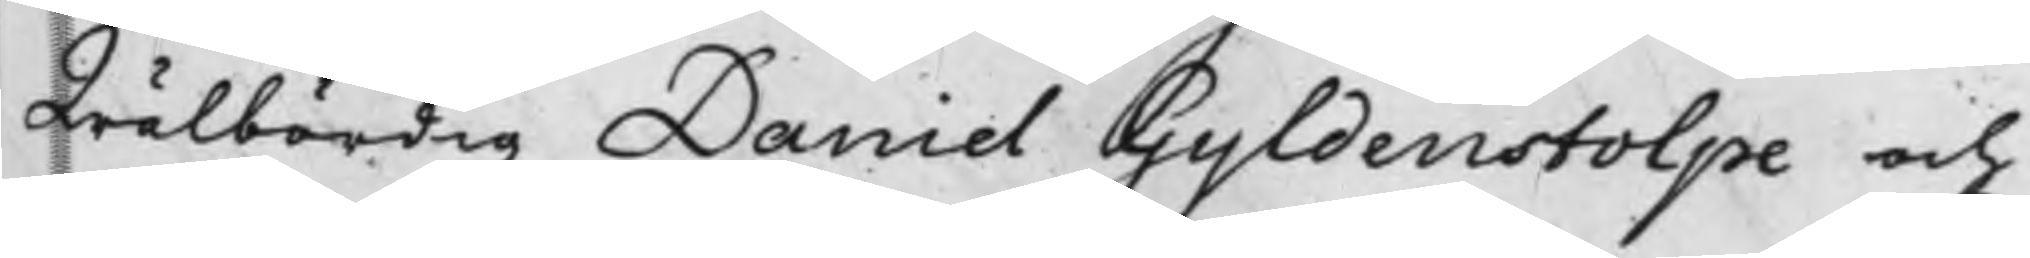Wälbördig Daniel Gyldenstolpe och
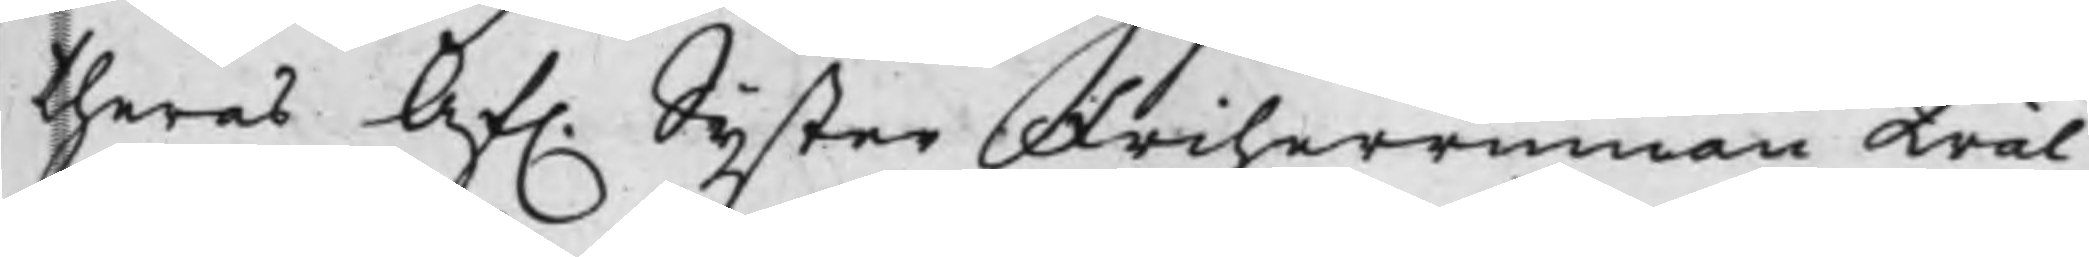theras Af. Syster Friherrinnan Wäl¬
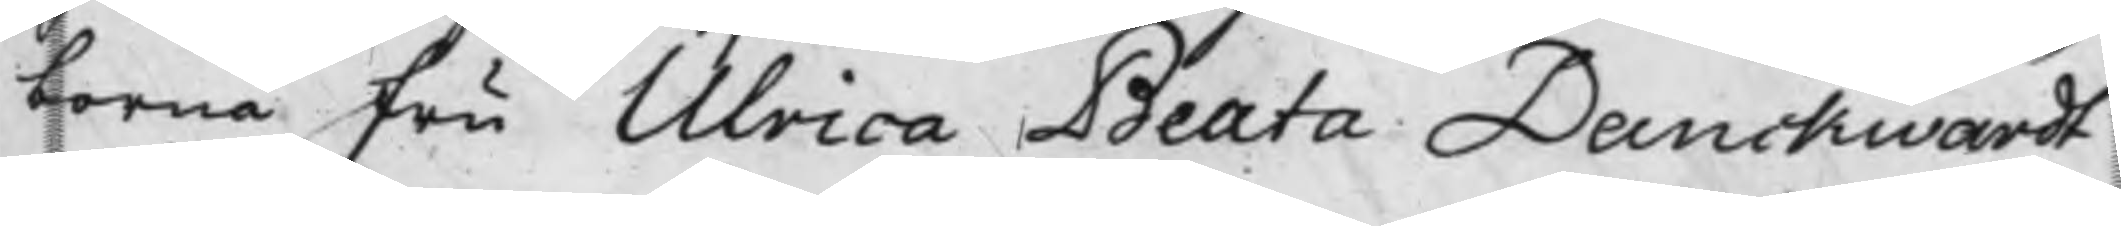borna Fru Ulrica Beata Danckwardt
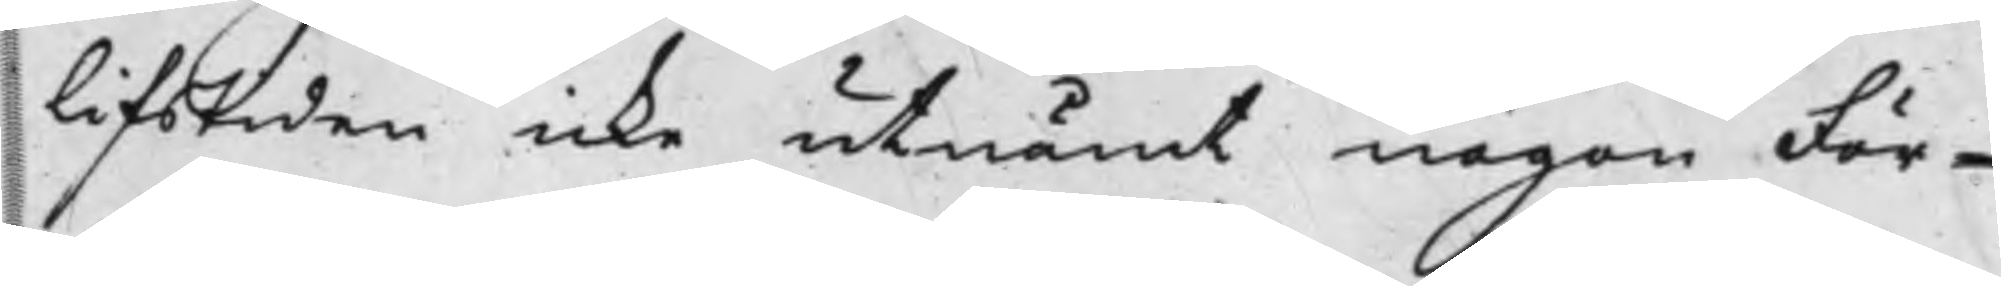i lifstiden icke utnämt någon För¬
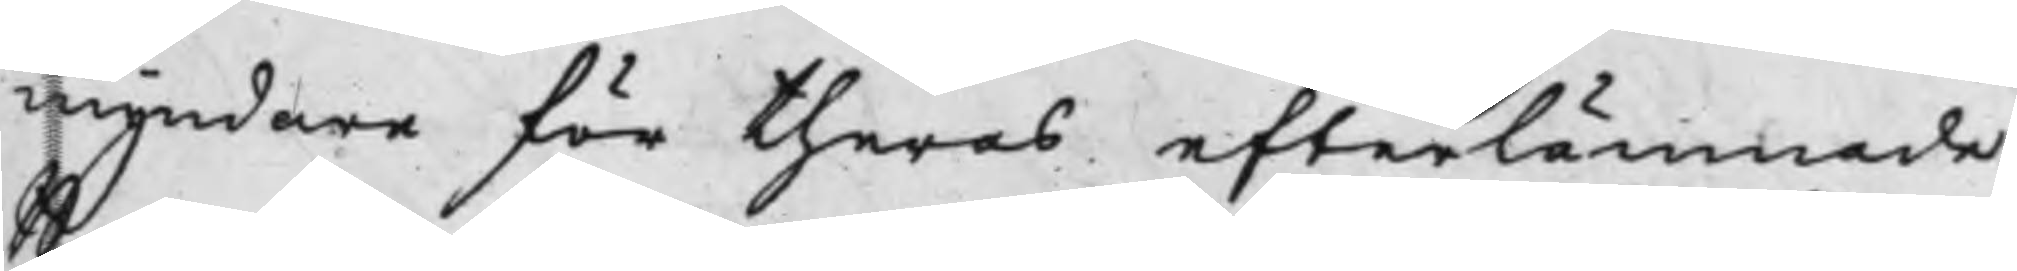myndare för theras efterlämnade
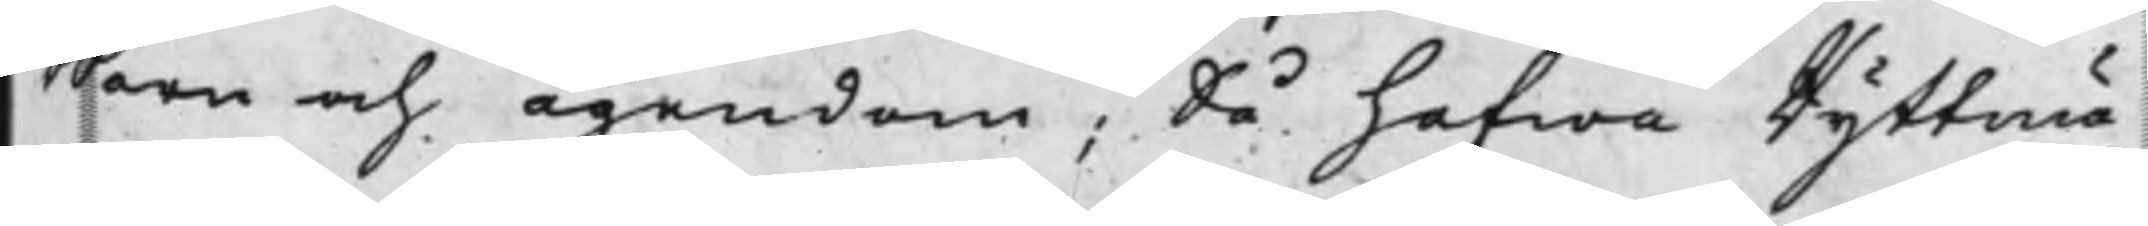Barn och ägendom, Så hafwa Ryttmä¬
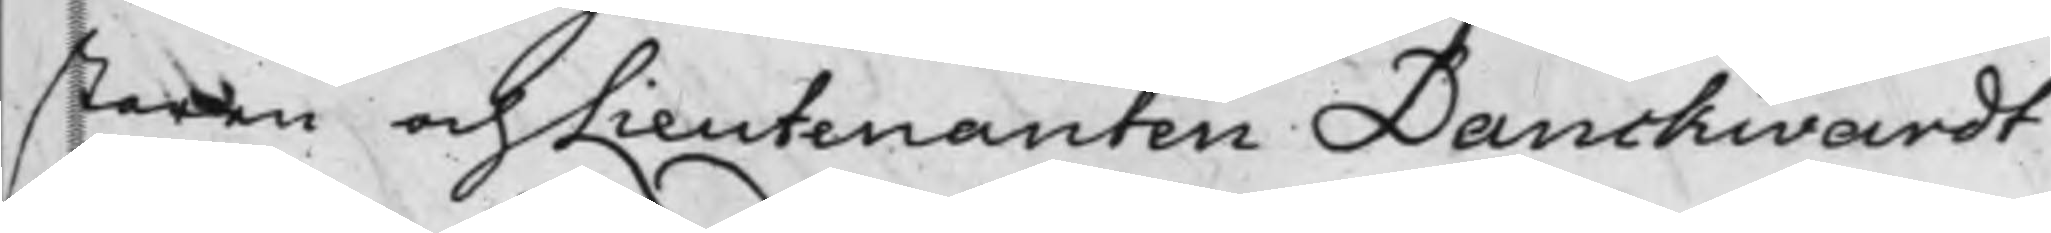staren och Lieutenanten Danckwardt
